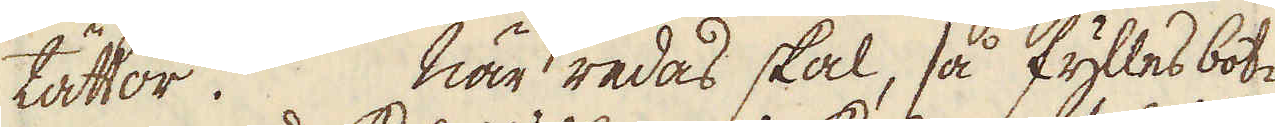tättor. När redas skal, så fylles bot-
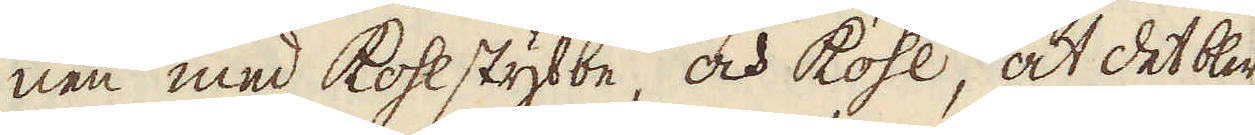nen med kohlstybbe, och kohl, at det blir
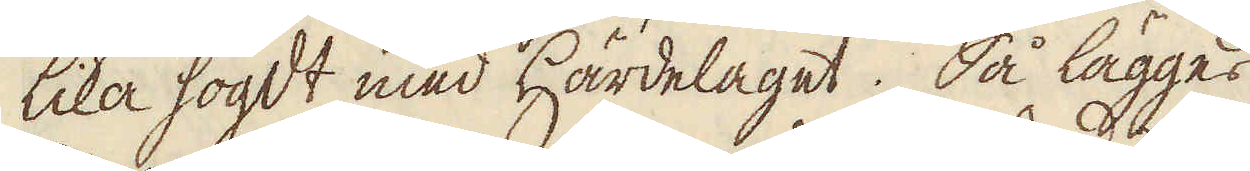lika högdt med Härdelaget. Så lägges
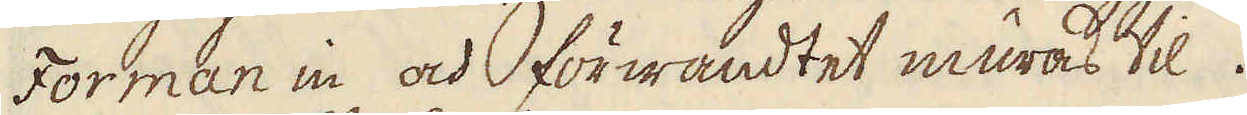Forman in och förwandtet muras til.
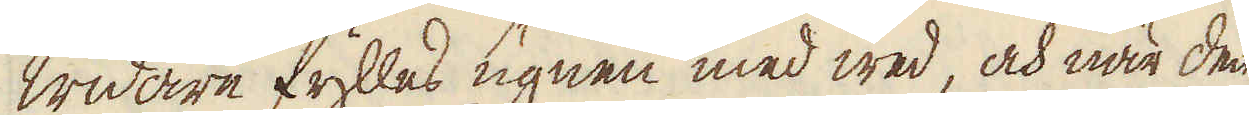Widare fylles ugnen med wed, och när den
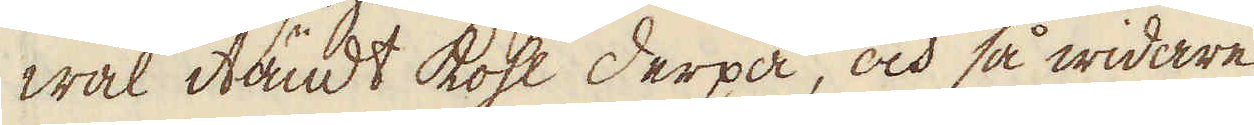wäl itändt kohl derpå, och så widare
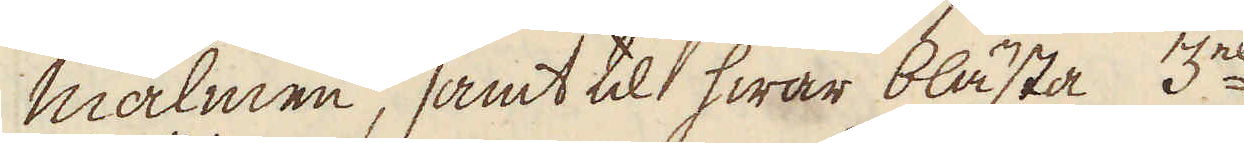malmen, samt til hwar blästa 3ne
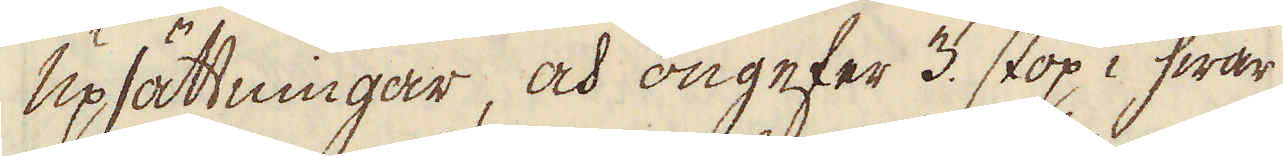upsättningar, och ongefer 3. stop i hwar
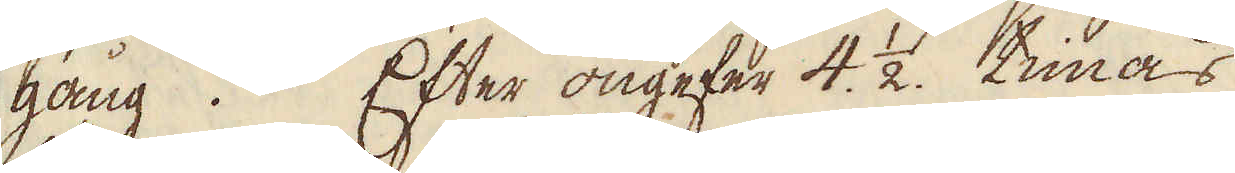gång. Efter ongefer 4. 1/2. timas
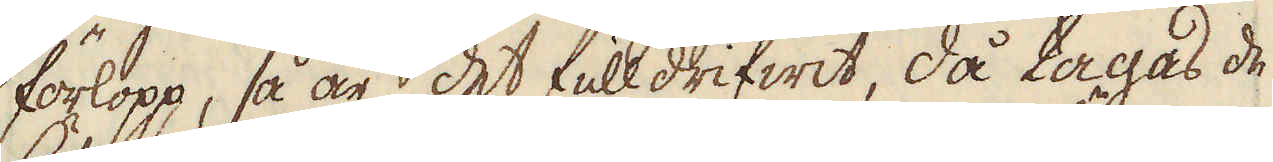förlopp, så är det fulldrifwit, då tagas de
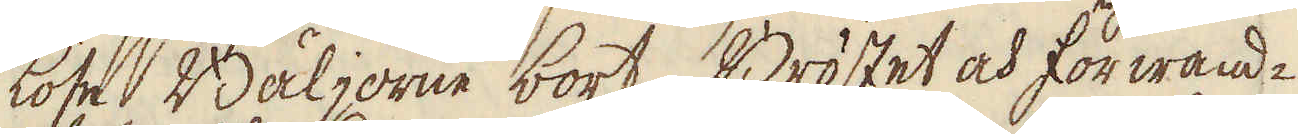löse Bäljorne bort, Bröstet och förwand-
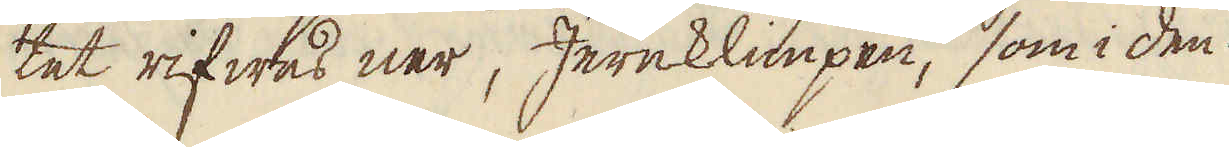tet rifwes ner, Jernklimpen, som i den
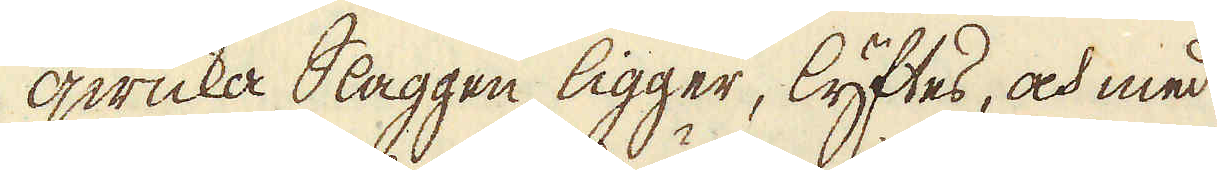qwicka Slaggen ligger, lyftes, och med
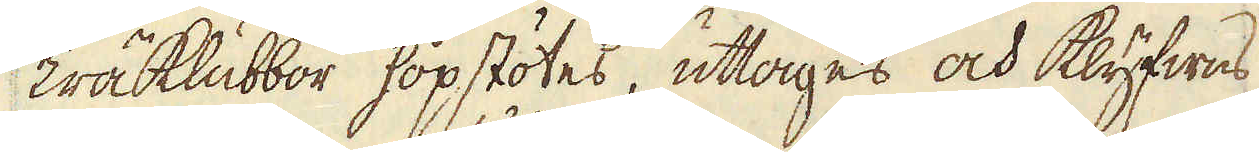Träklubbor hopstötes, uttages och klyfwes
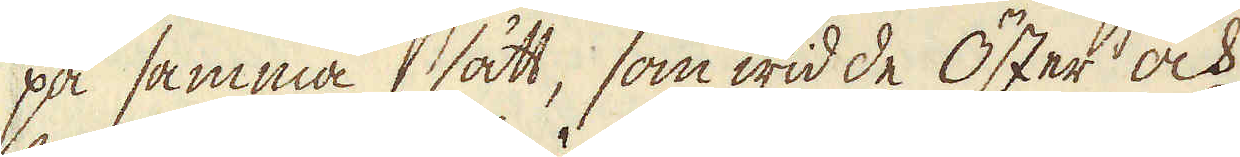på samma sätt, som wid de Öster och
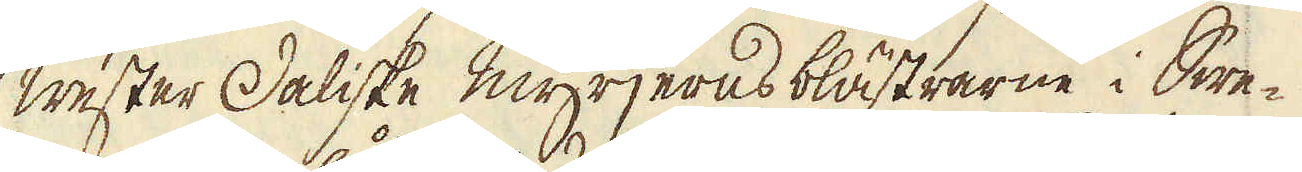Wester Daliske myrjerns blästrarne i Swe-
